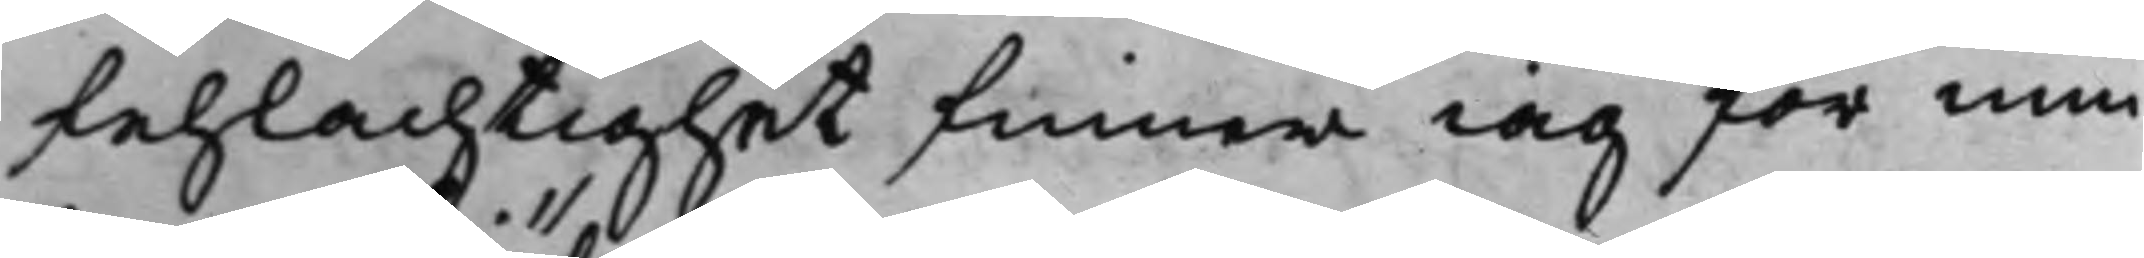fehlachtighet finner iag för min
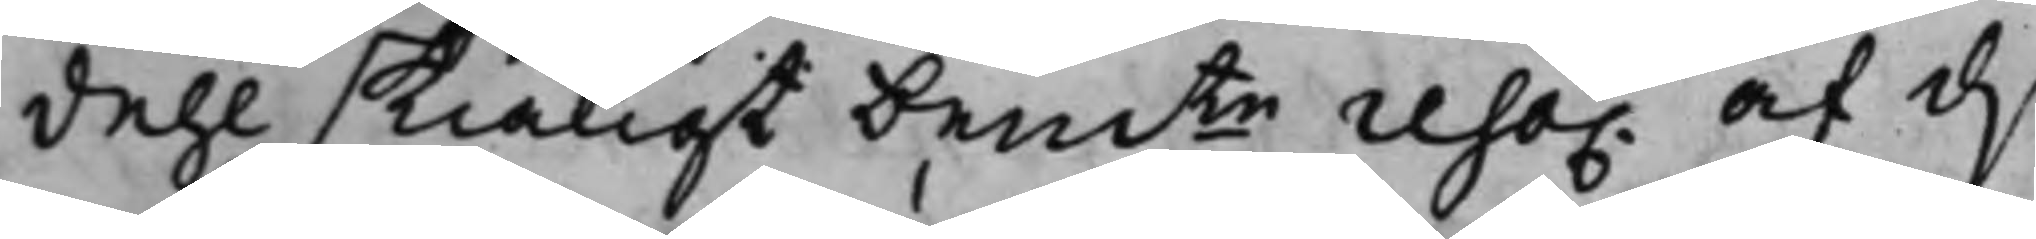dehl skiäligt bemte reso. af d.
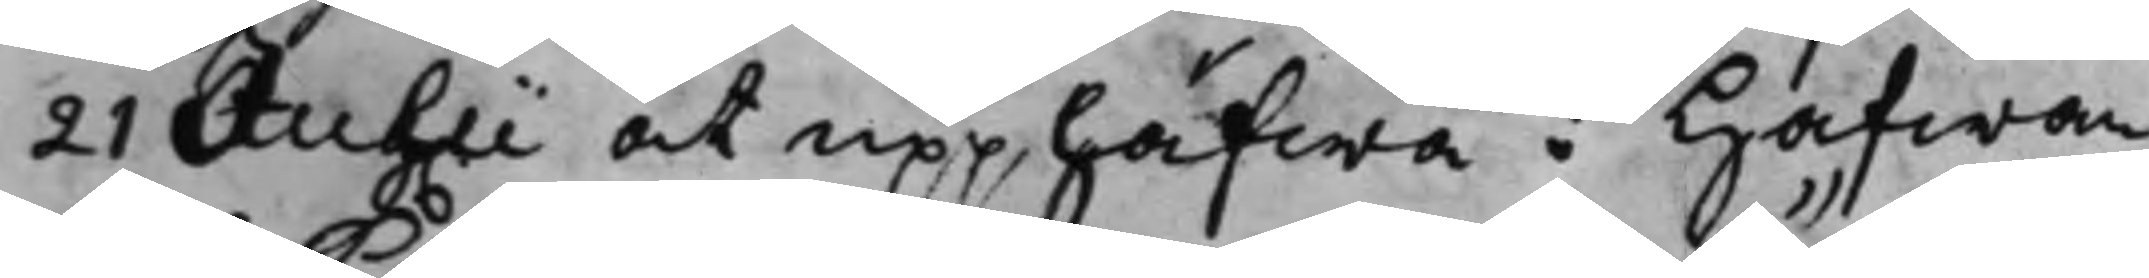21 Julii at upphäfwa: hafwan¬
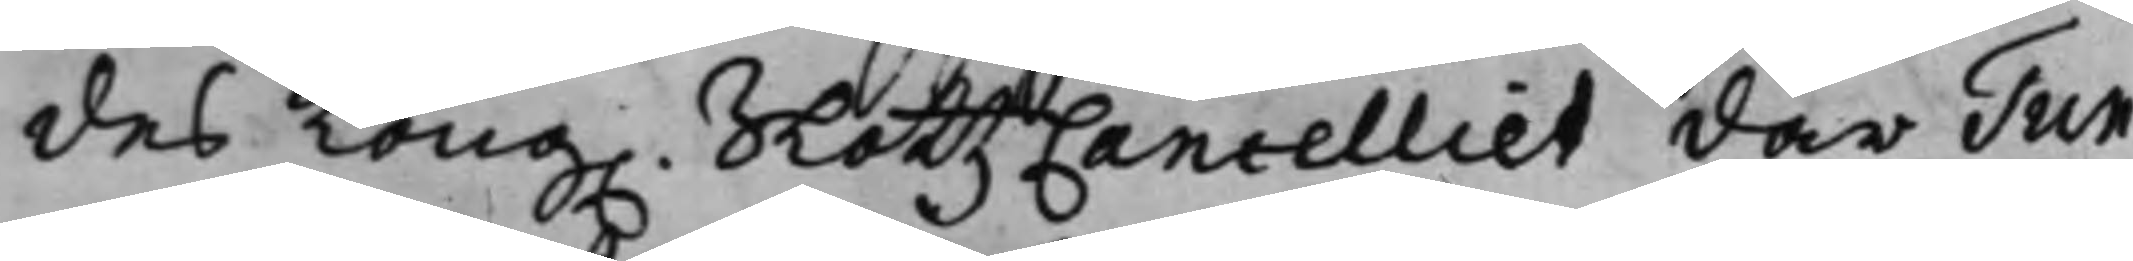des Kong. SlottzCancelliet där Tun¬
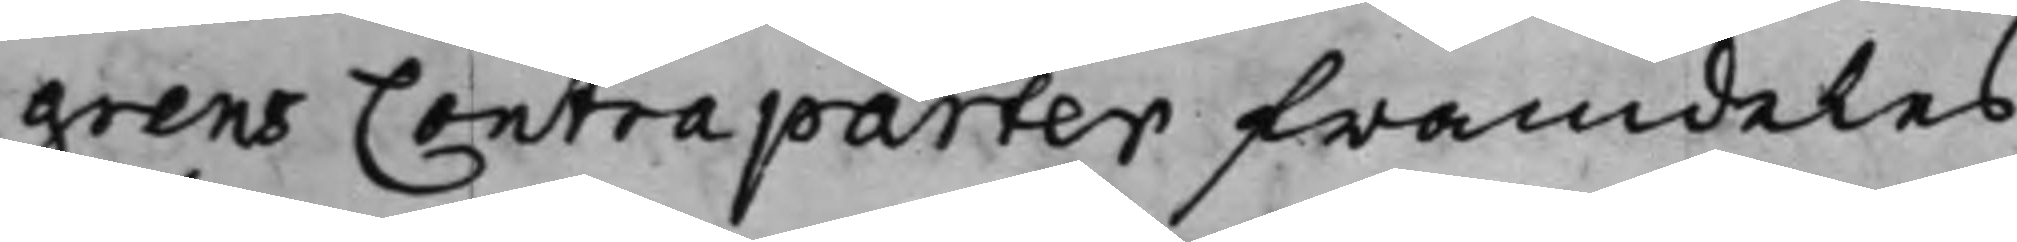grens Contraparter framdeles
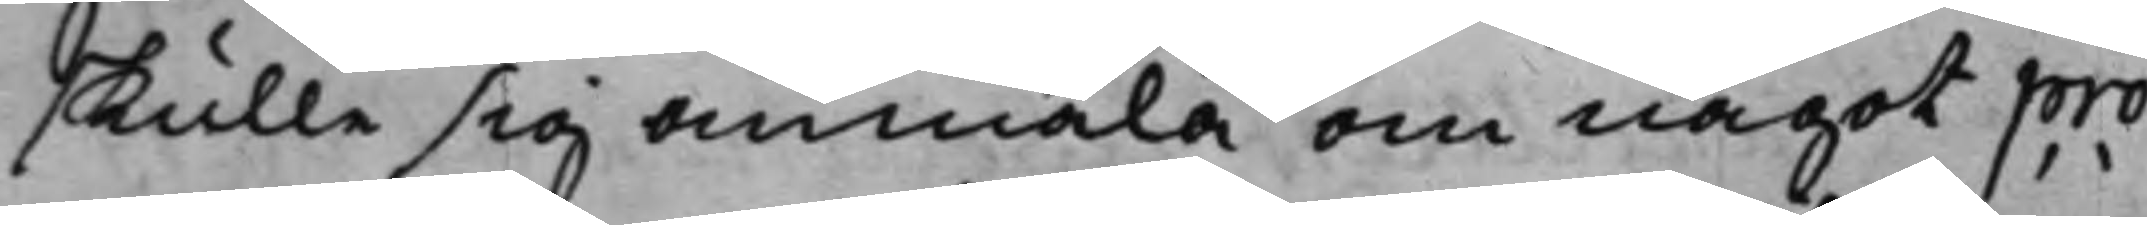skulle sig anmäla om något pro¬
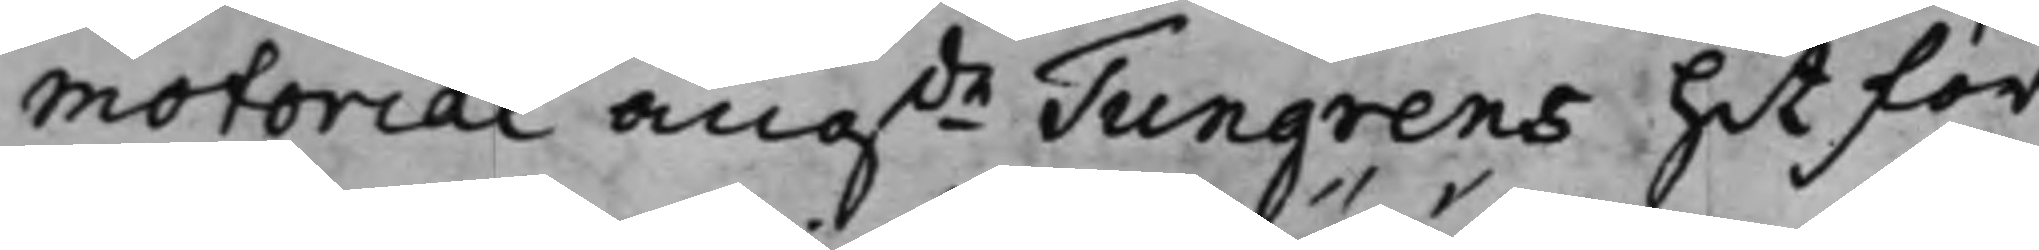motorial, angde Tungrens hit för¬
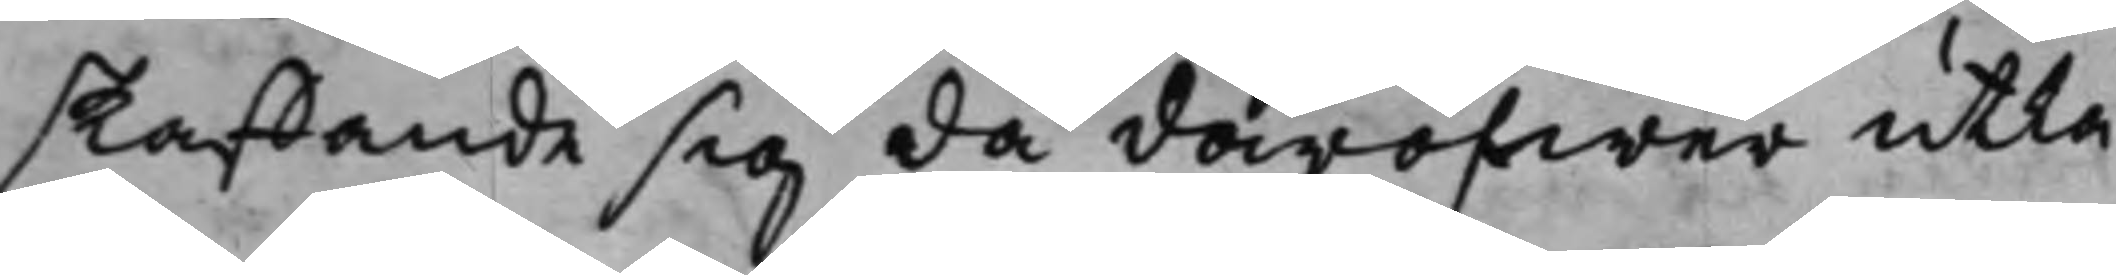skaffande sig då däröfwer utlå¬
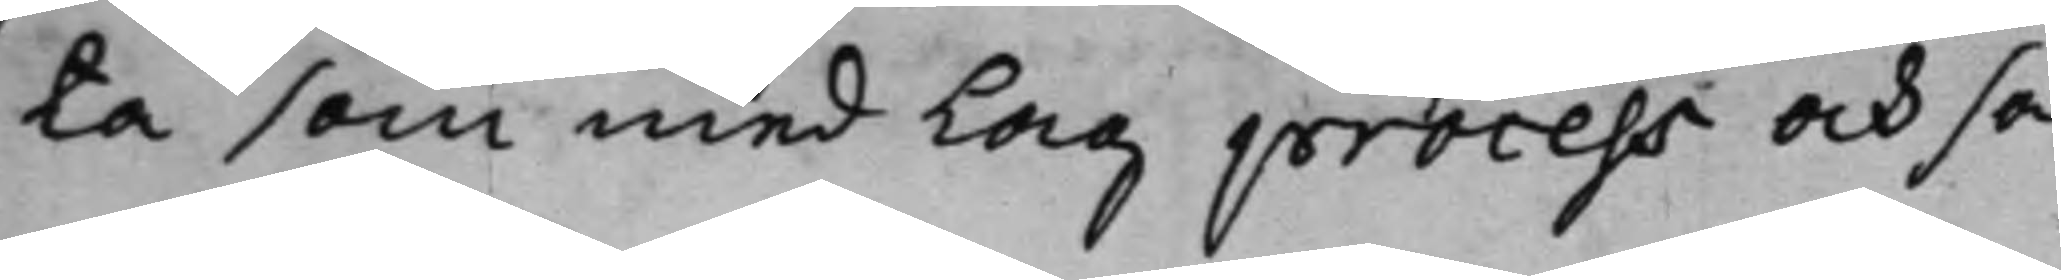ta som med Lag process och sa¬
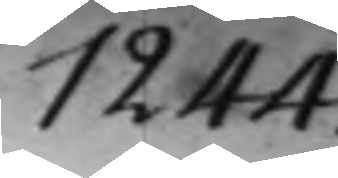1244.
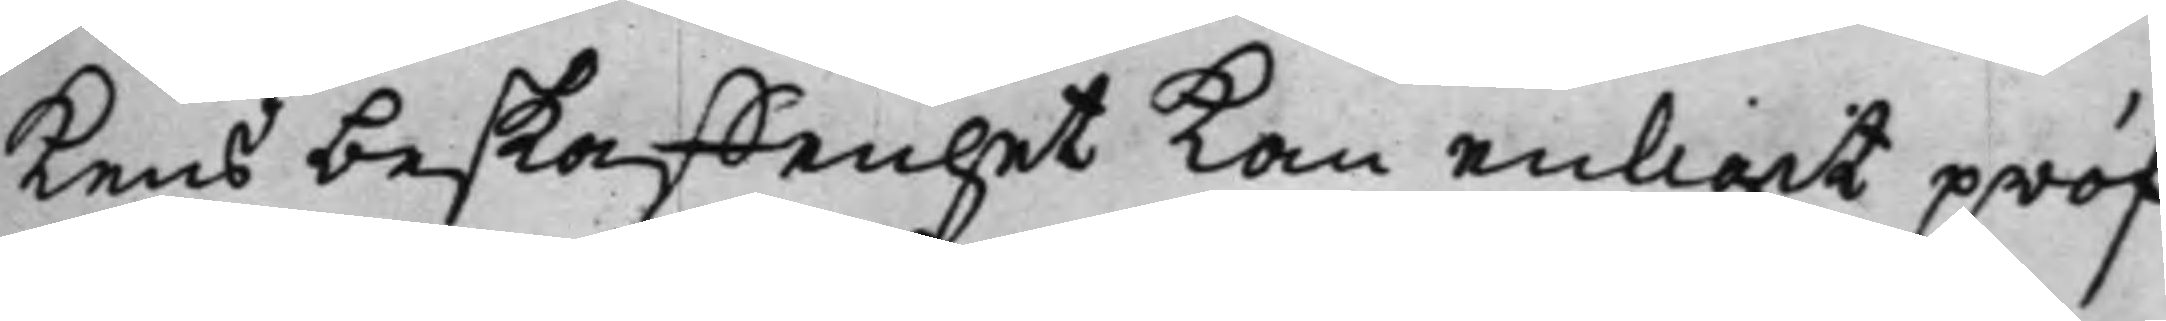kens beskaffenhet kan enligit pröf¬
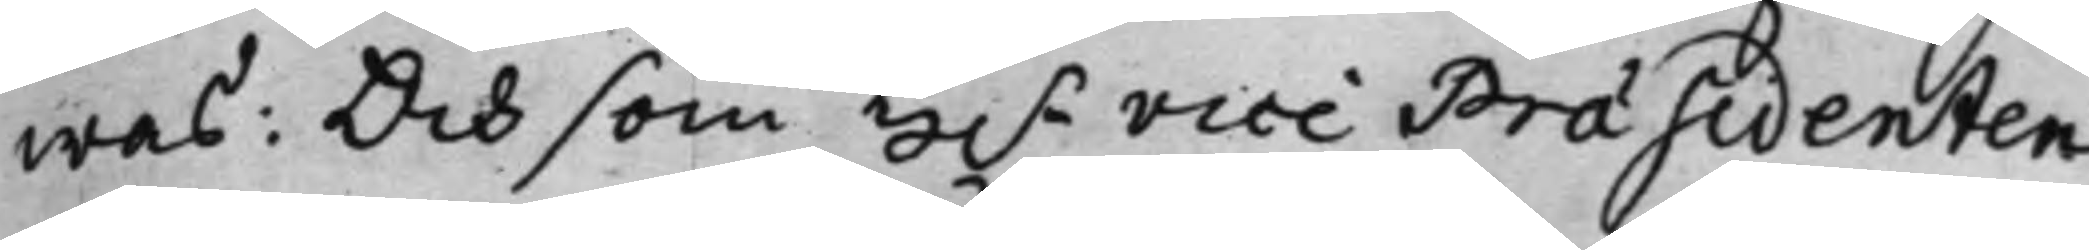was: Och som H.r Vice Præsidenten
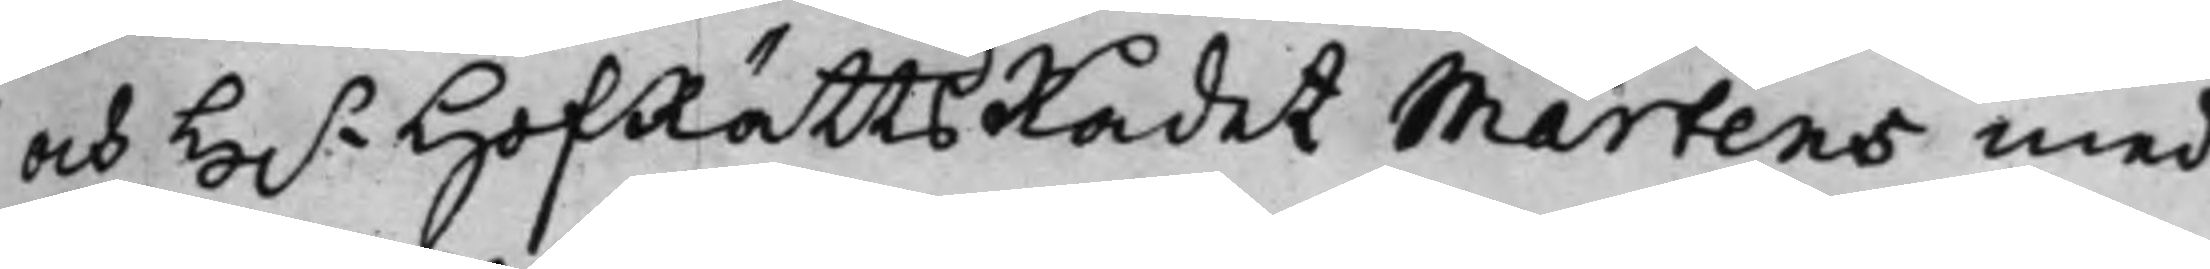och H.r HofRättsRådet Martens med
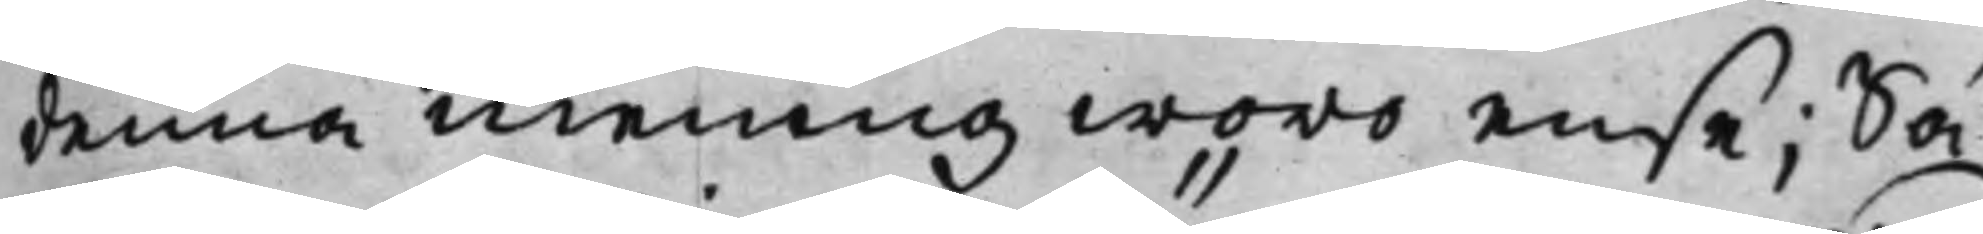denna mening woro ense; Så
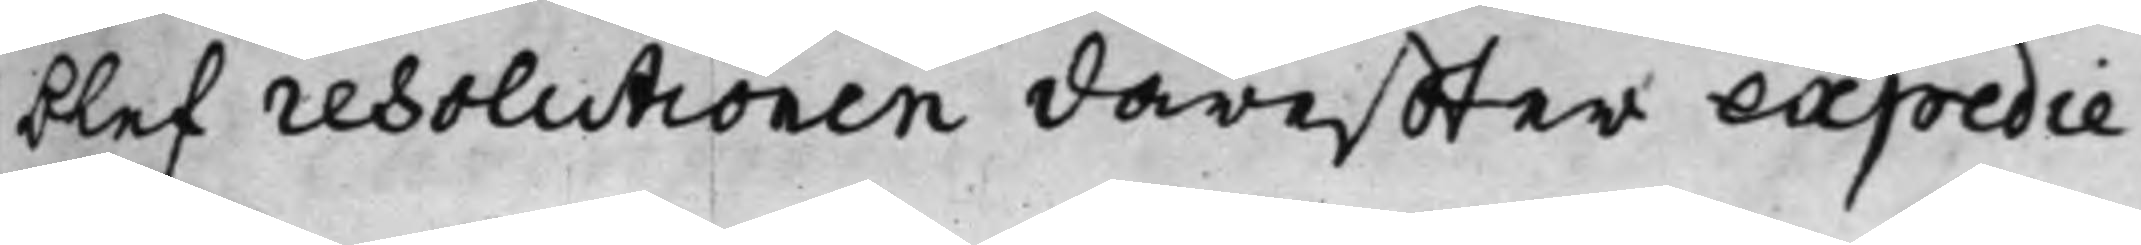blef resolutionen däreffter expedie¬
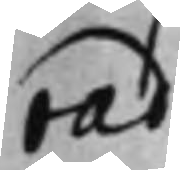rad.
